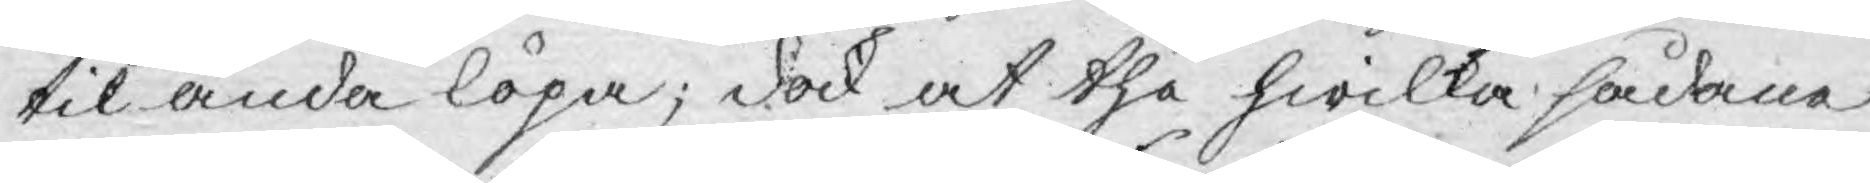til ända löpa; dock at the hwilka sådana
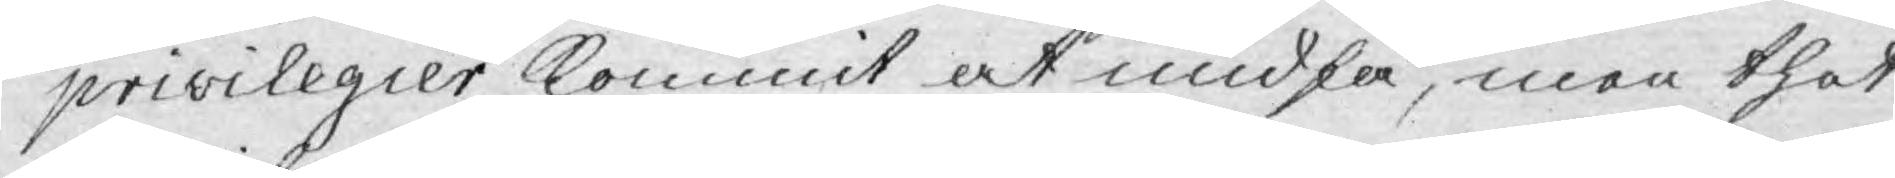privilegier kommit at undfå, men thet
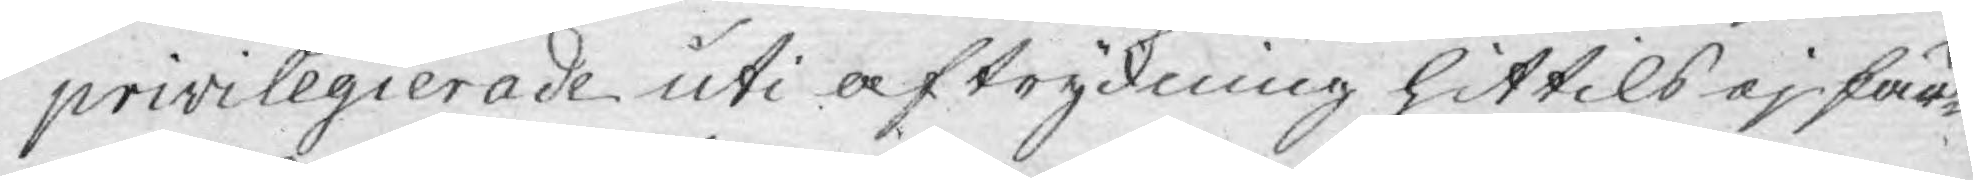privilegierade uti aftryckning hittils ej fär¬
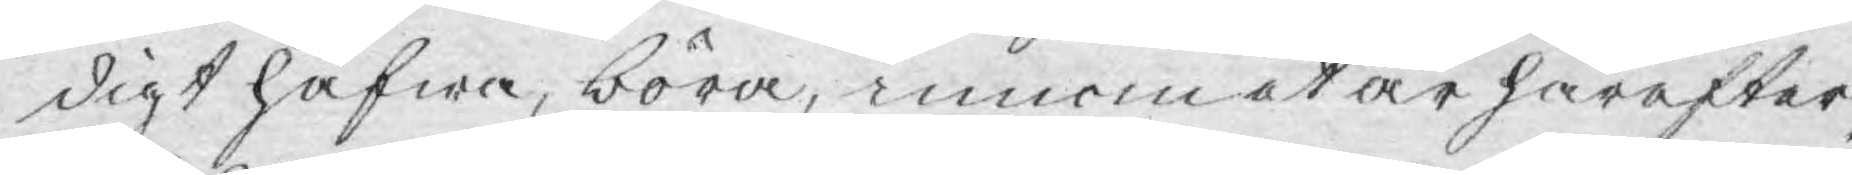digt hafwa, böra, innom et år härefter,
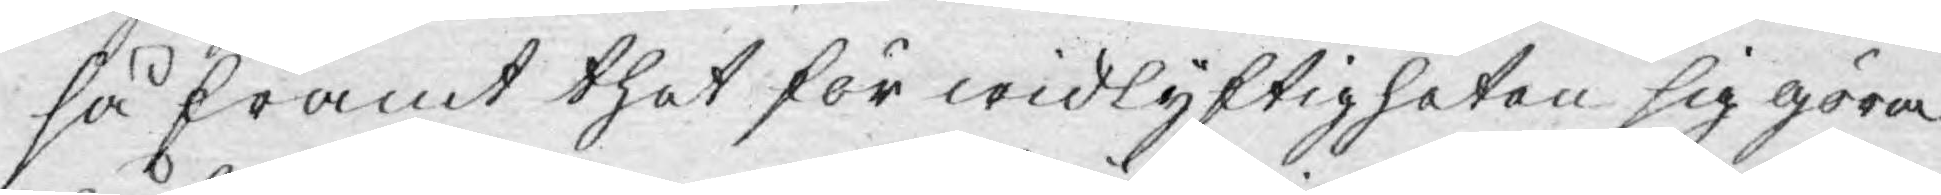så framt thet för widlyftigheten sig göra
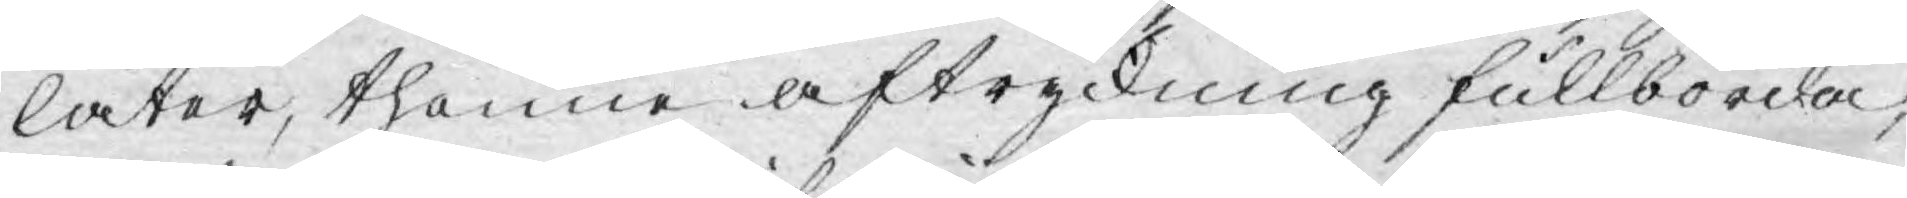låter, thenne aftryckning fullborda,
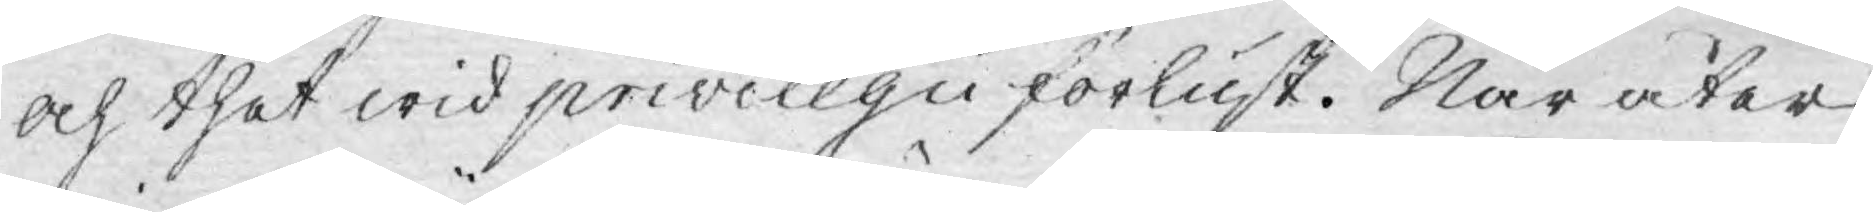och thet wid privilegii förlust. När åter
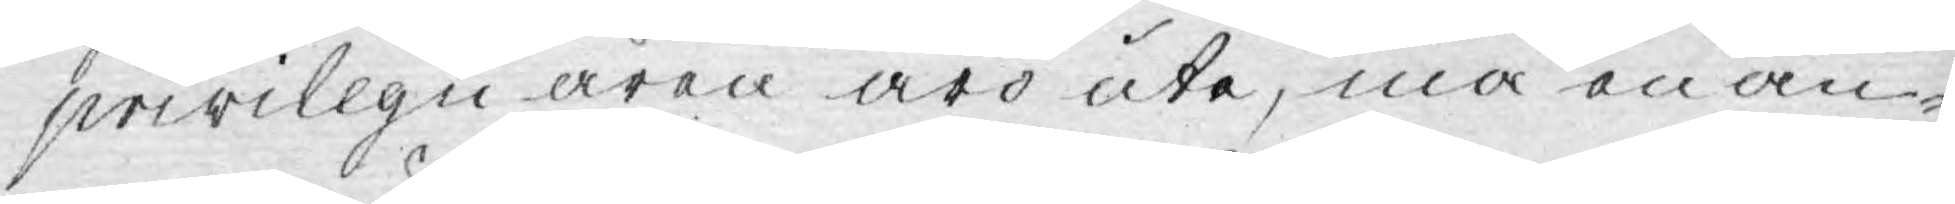privilegii åren äro ute, må en an¬
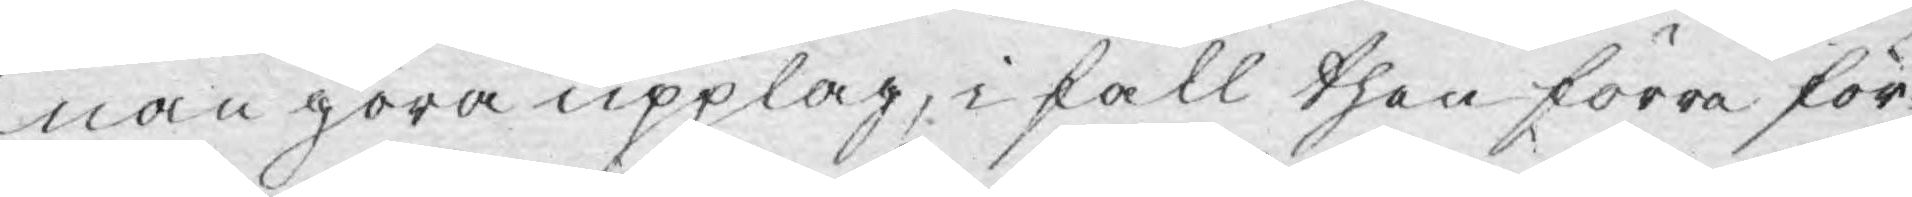nan göra upplag, i fall then förre för¬
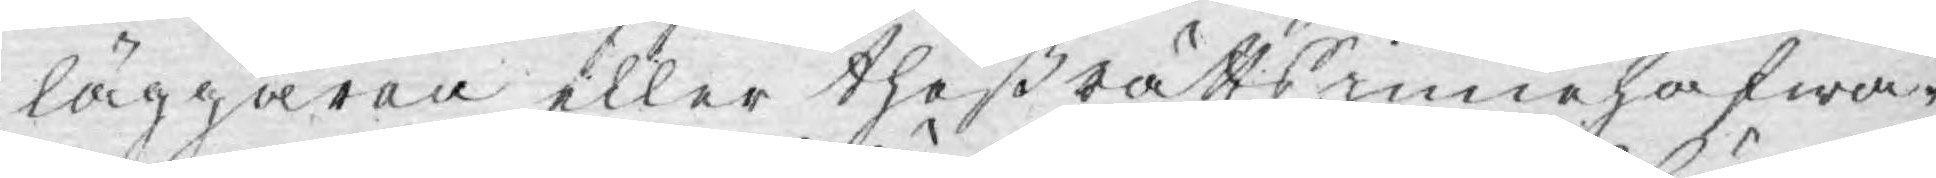läggaren eller theß rätts innehafwa¬
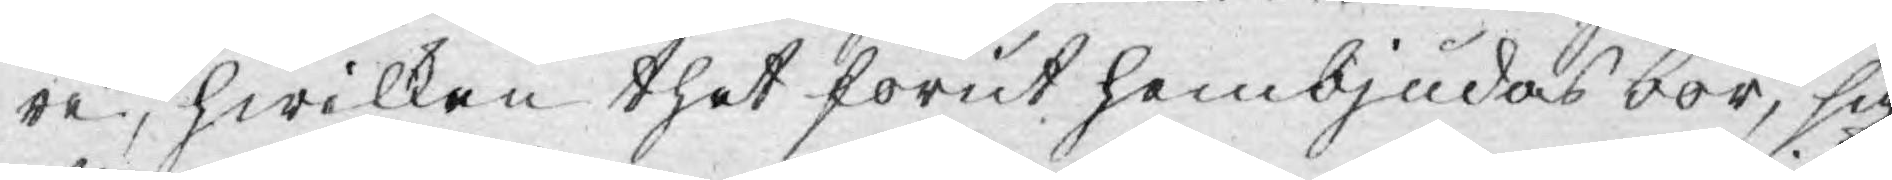re, hwilken thet förut hembjudas bör, sig
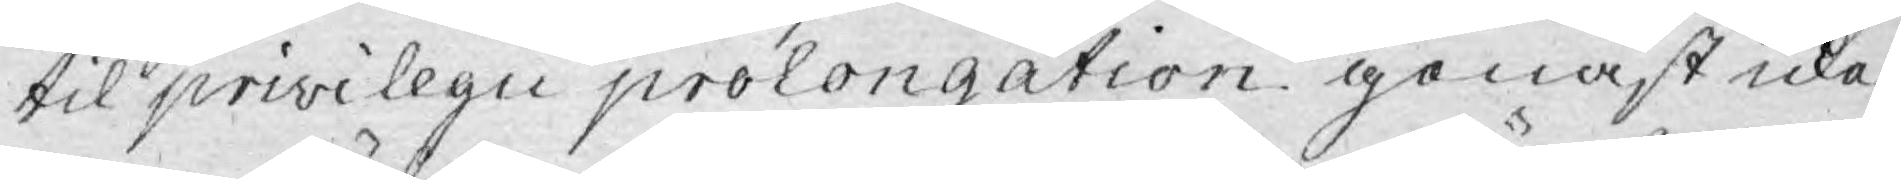til privilegii prolongation genast icke
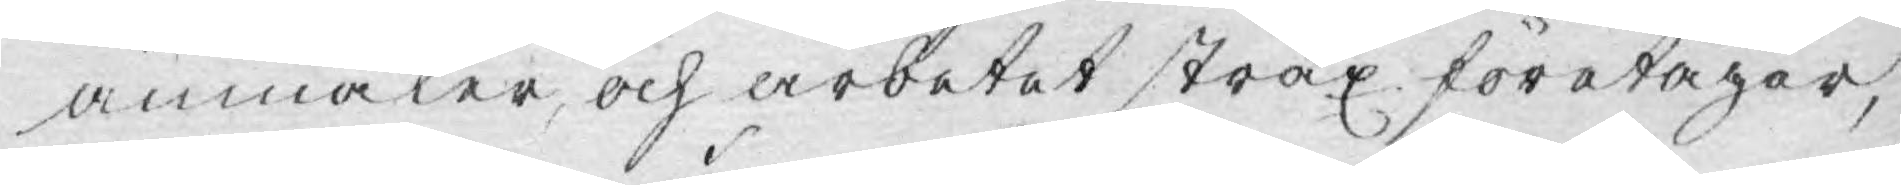anmäler, och arbetet strax företager,
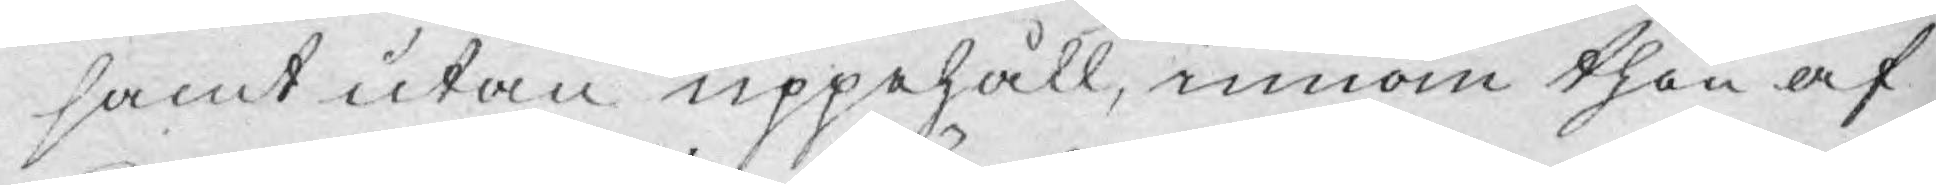samt utan uppehåll, innom then af
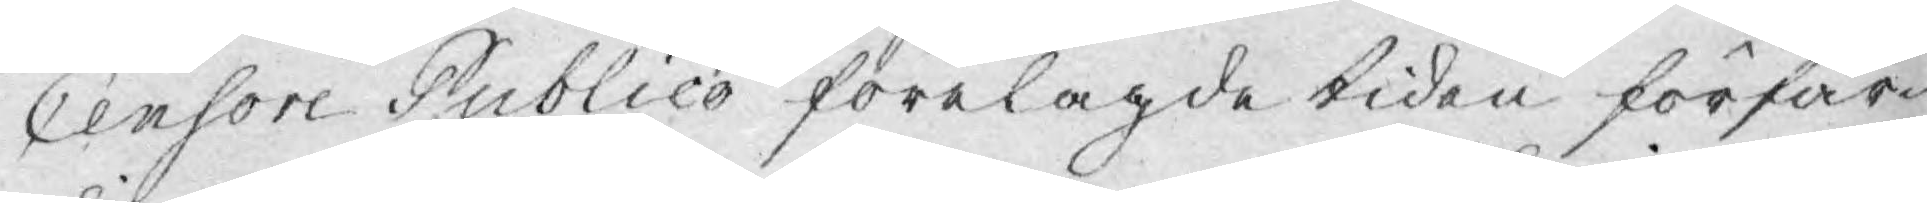Censore Publico förelagde tiden förfär¬
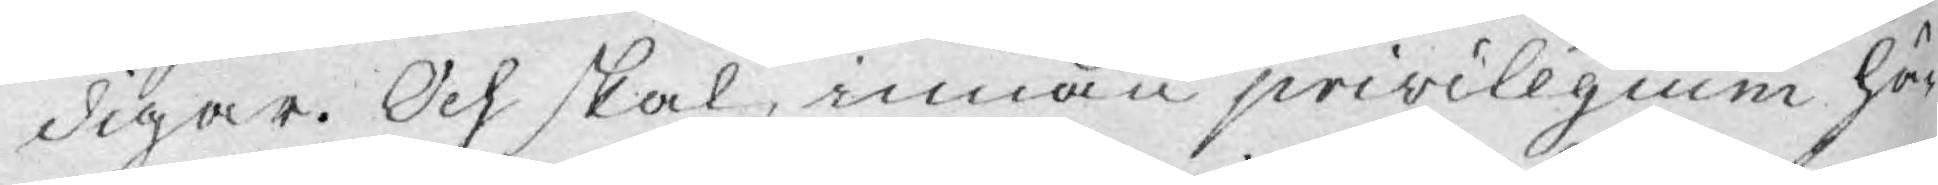digar. Och skal, innan privilegium hä¬
